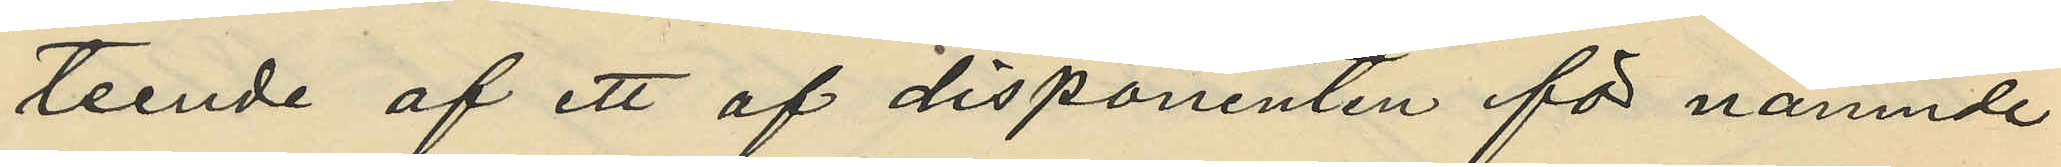teende af ett af disponenten för nämnde
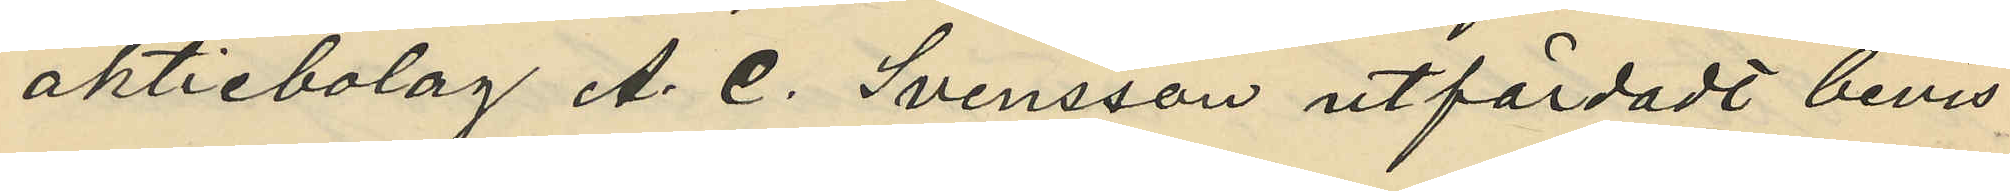aktiebolag A. C. Svensson utfärdadt bevis
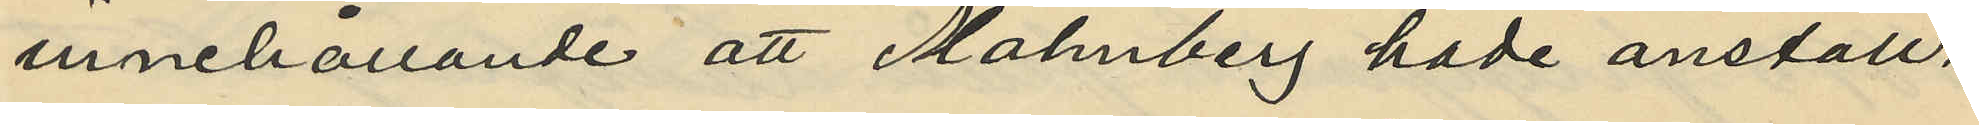innehållande att Malmberg hade anställ¬
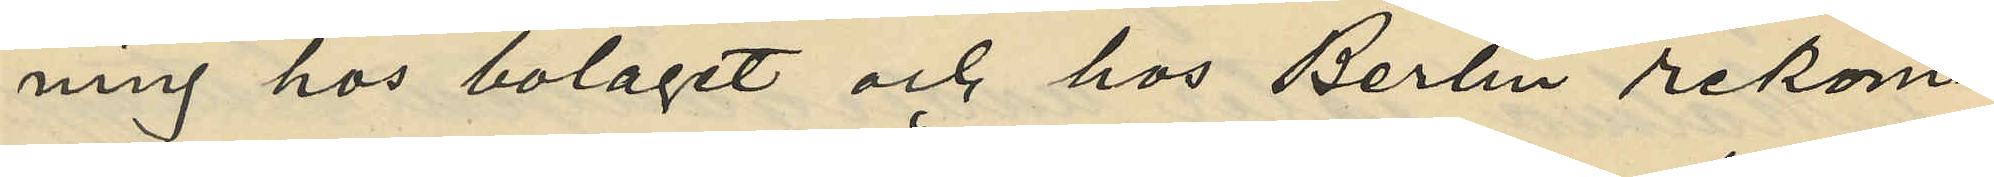ning hos bolaget och hos Berlin rekom¬
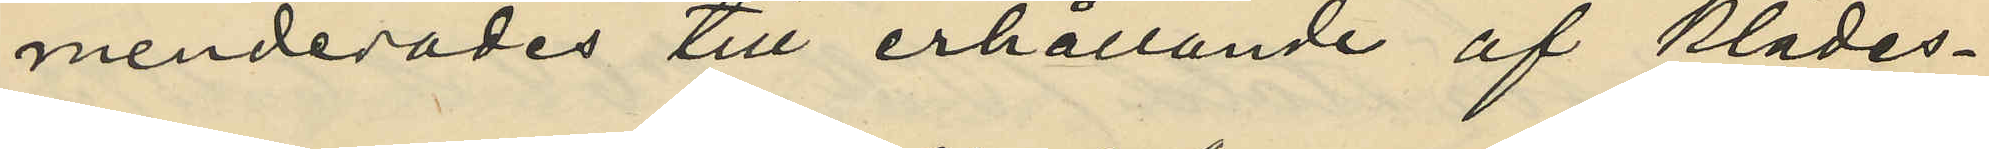menderades till erhållande af klädes¬
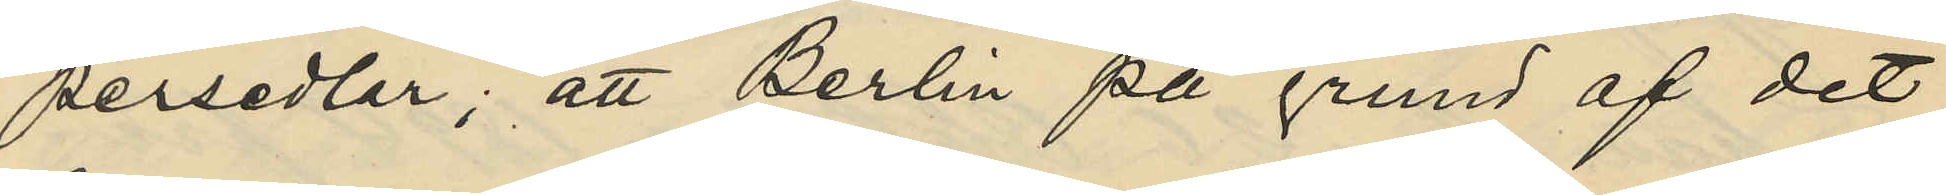persedlar; att Berlin På grund af det
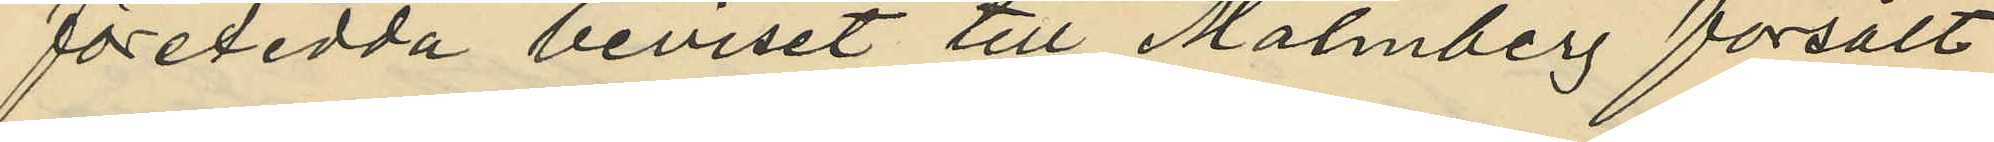företedda beviset till Malmberg försålt
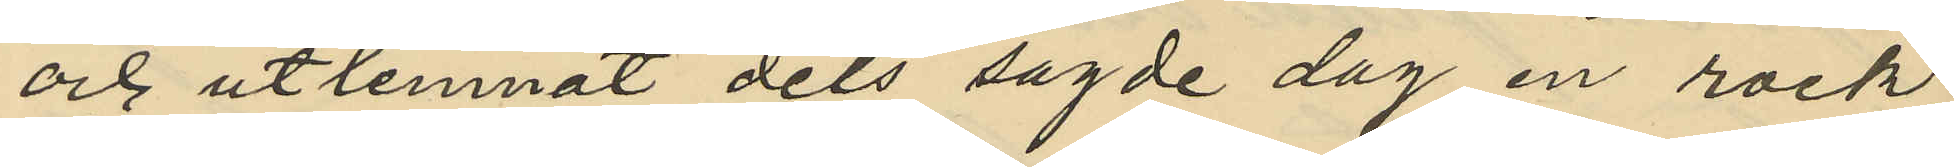och utlemnat dels sagde dag en rock,
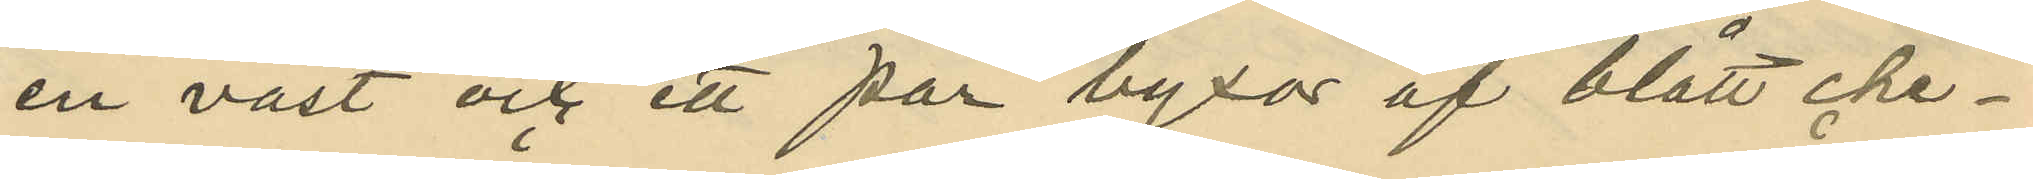en väst och ett par byxor af blått che¬
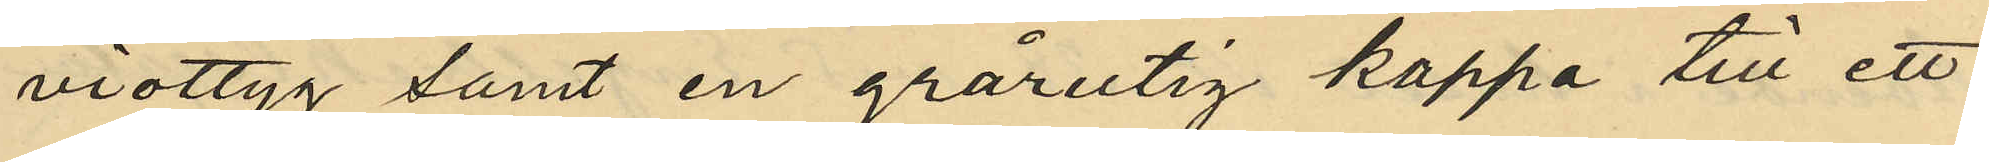viottyg samt en grårutig kappa till ett
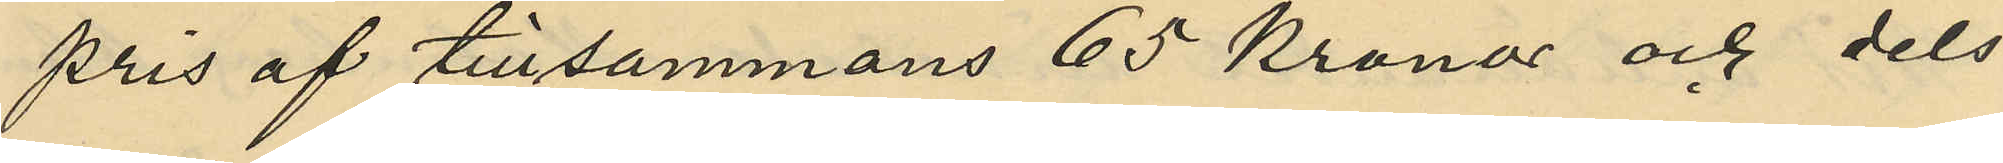pris af tillsammans 65 Kronor och dels
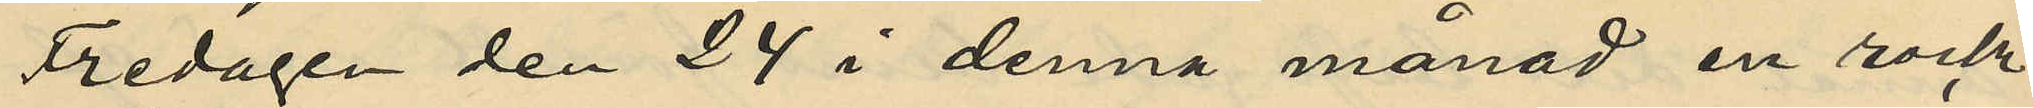Fredagen den 24 i denna månad en rock
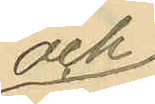och
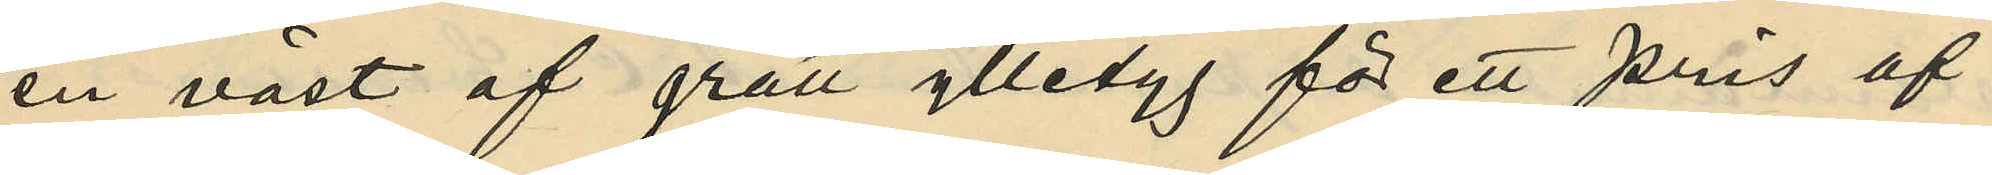en väst af grått ylletyg för ett pris af
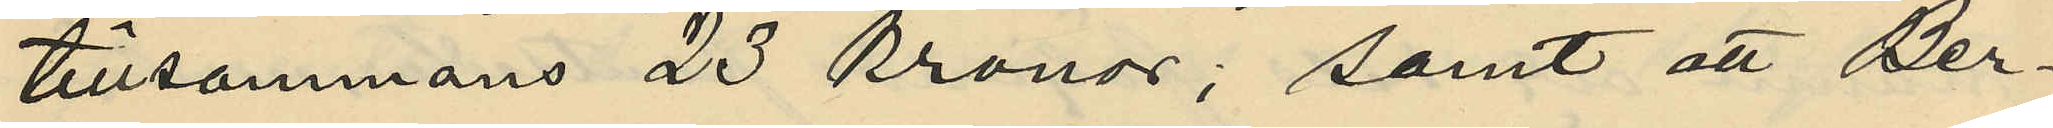tillsammans 23 kronor; samt att Ber¬
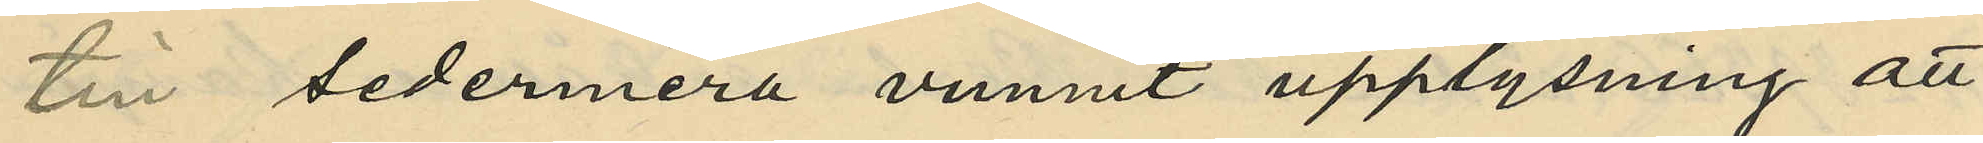lin sedermera vunnit upplysning att
